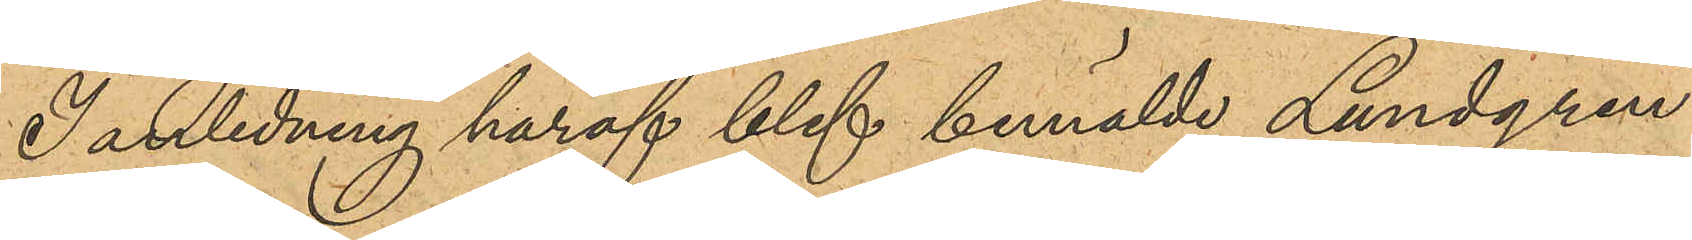I anledning häraf blef bemälde Lundgren
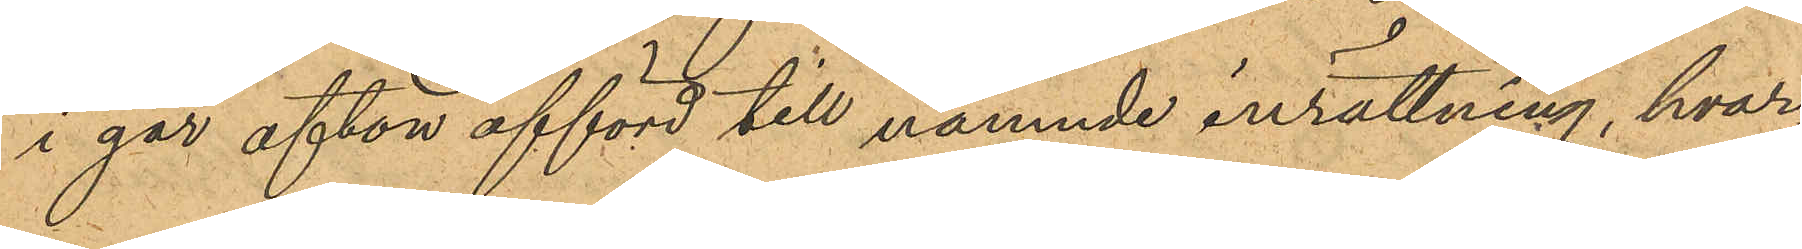i går afton afförd till nämnde inrättning, hvar¬
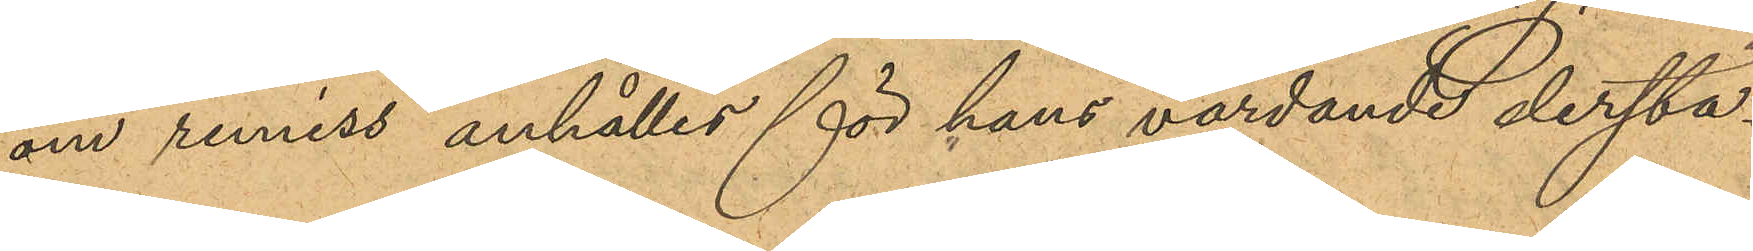om remiss anhålles för hans vårdande derstä¬
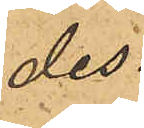des.
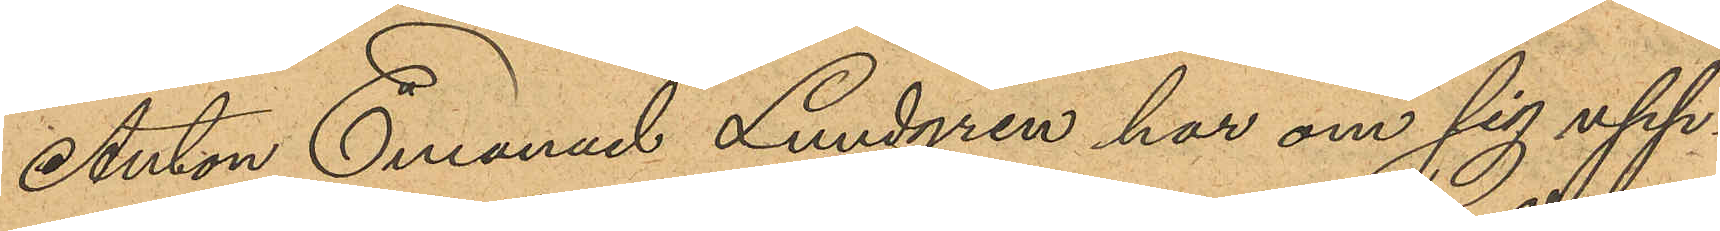Anton Emanuel Lundgren har om sig upp¬
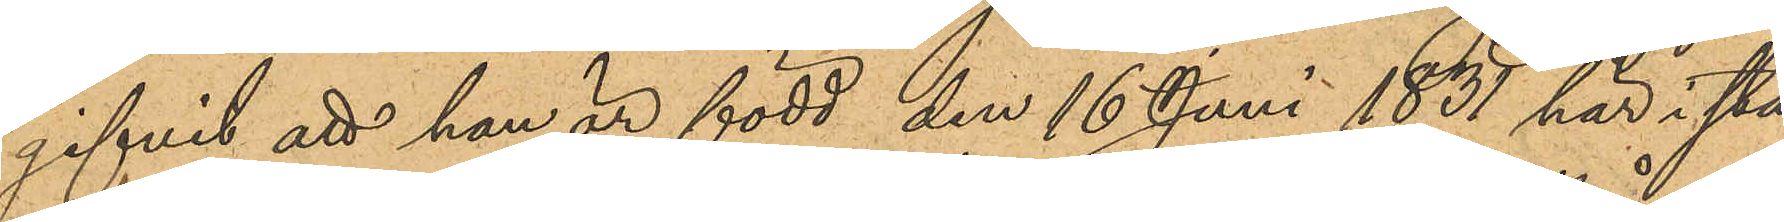gifvit att han är född den 16 Juni 1831 här i sta¬
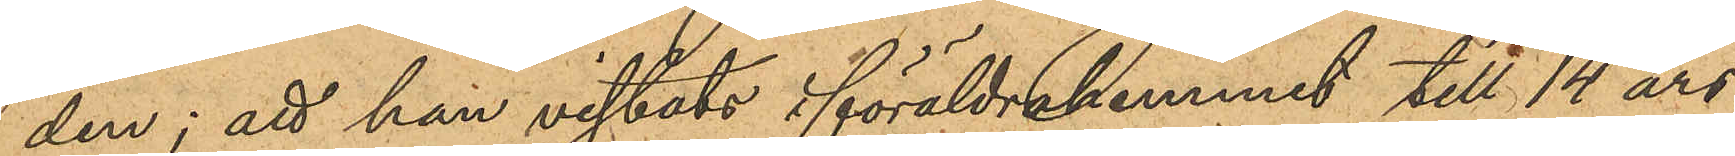den; att han vistats i föräldrahemmet till 14 års
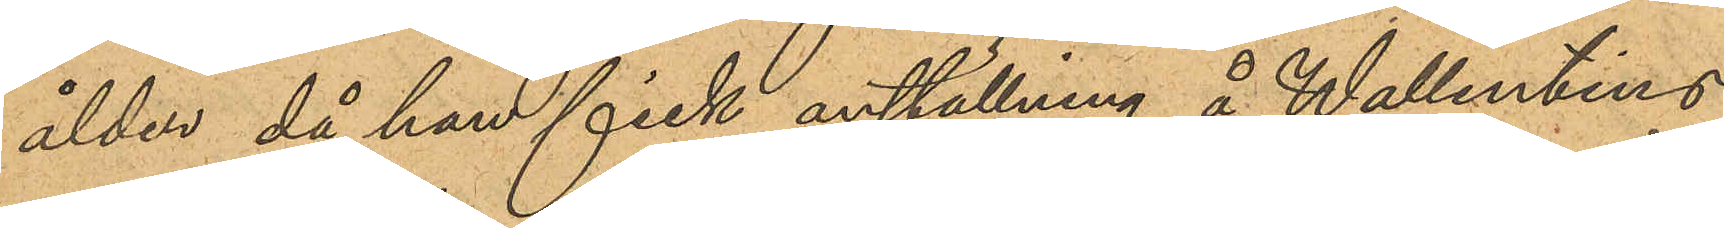ålder, då han fick anställning å Wallentins
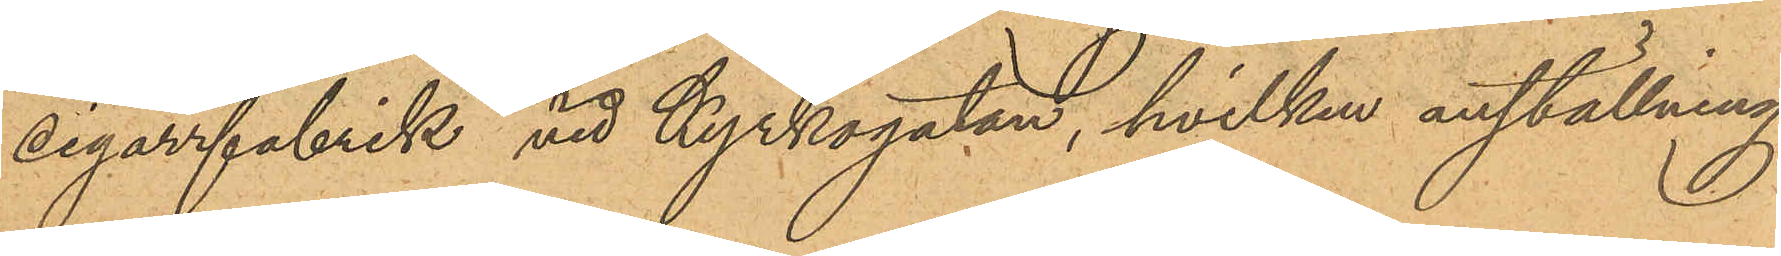cigarrfabrik vid Kyrkogatan, hvilken anställning
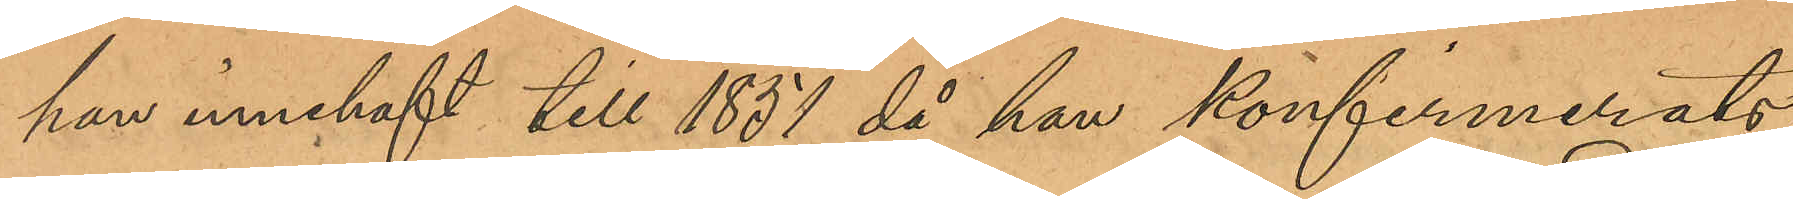han innehaft till 1851 då han konfirmerats;
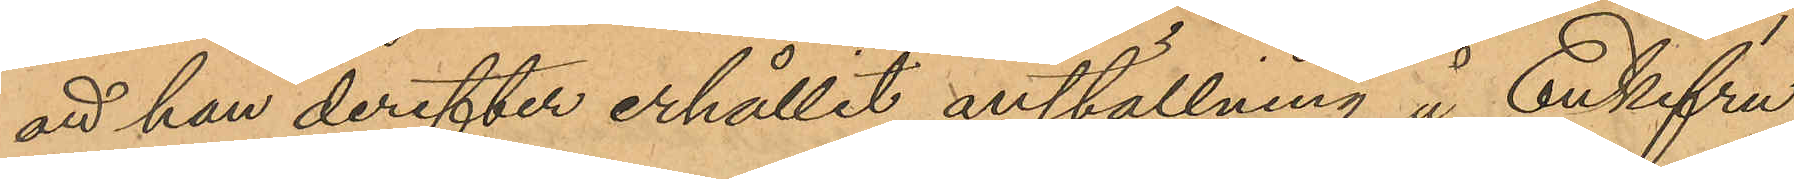att han derefter erhållit anställning å Enkefru
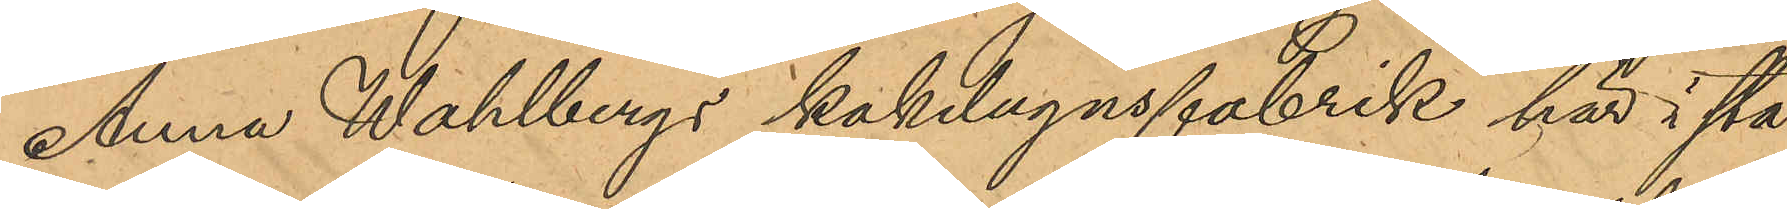Anna Wahlbergs kakelugnsfabrik här i sta¬
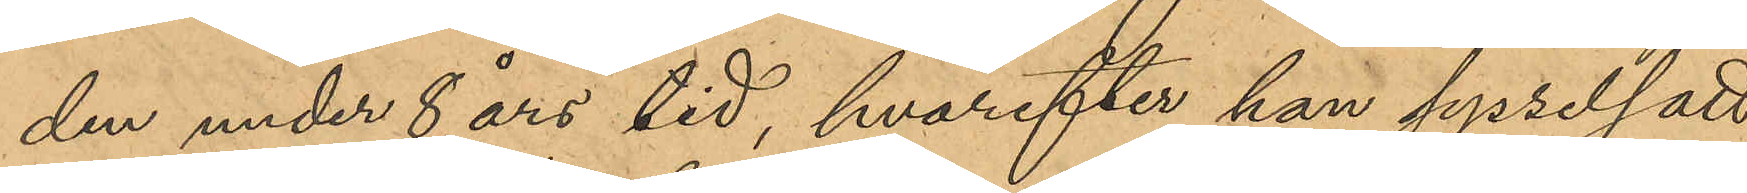den under 8 års tid, hvarefter han sysselsatt
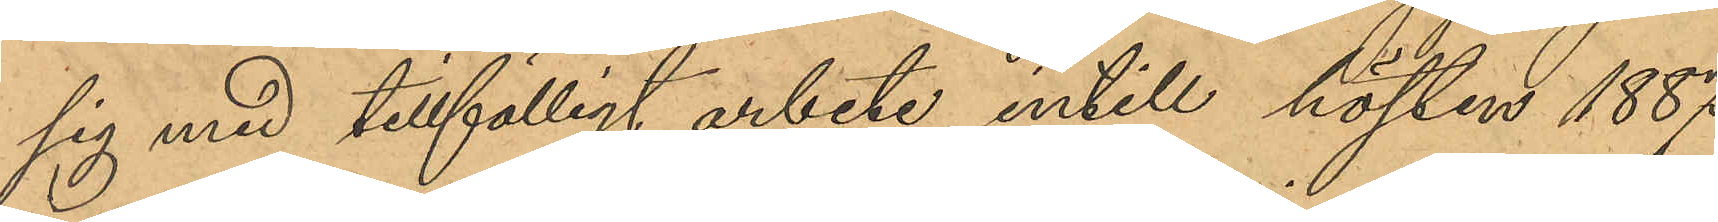sig med tillfälligt arbete intill hösten 1887
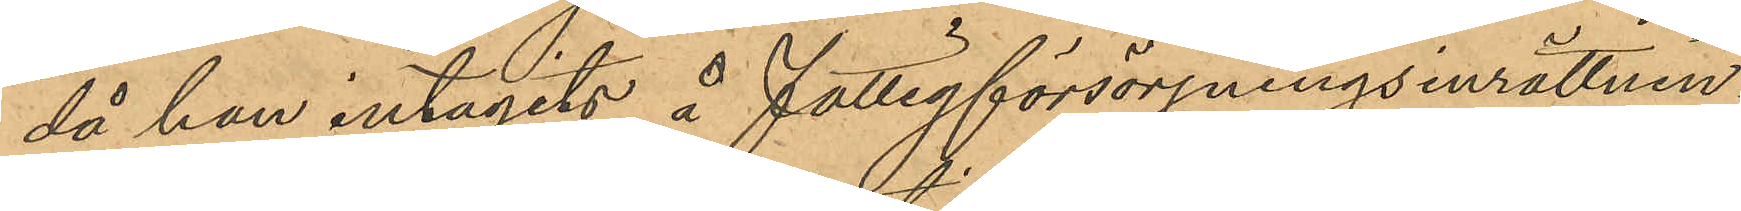då han intagits å fattigförsörjningsinrättnin¬
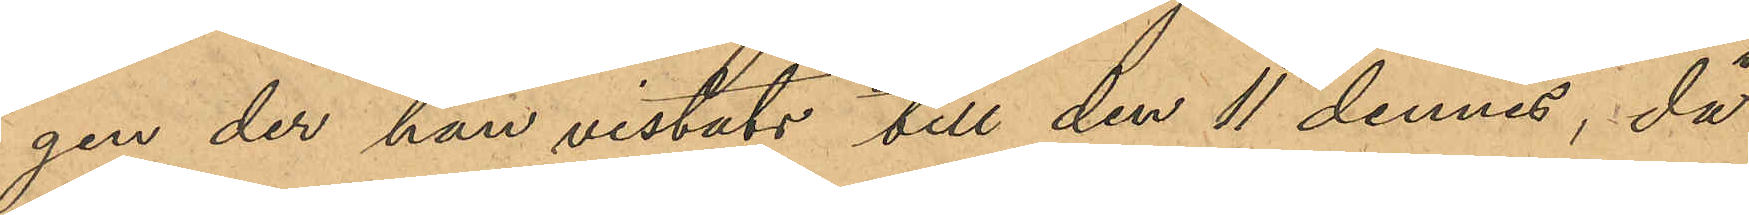gen der han vistats till den 11 dennes, då 
